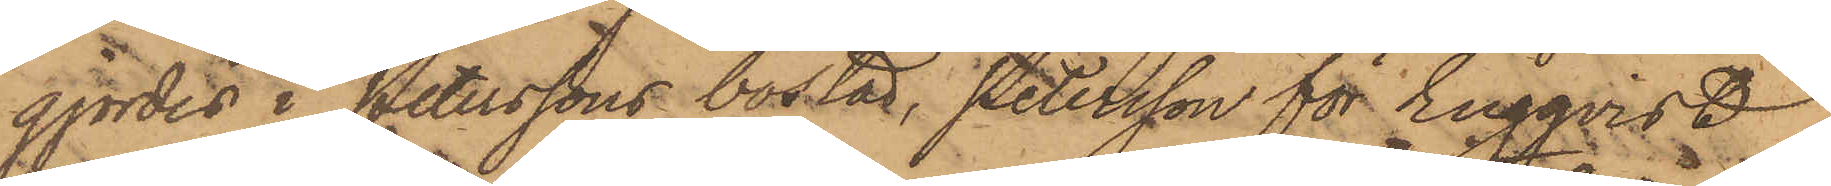gjordes i Peterssons bostad, Petersson för Engqvist
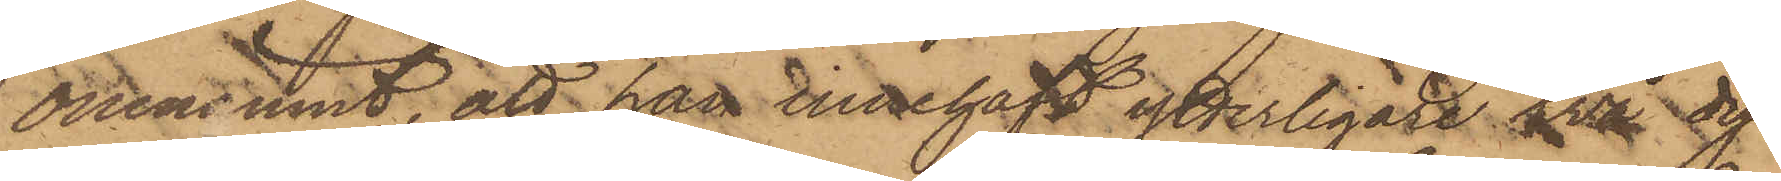omnämnt, att han innehaft ytterligare två dy¬
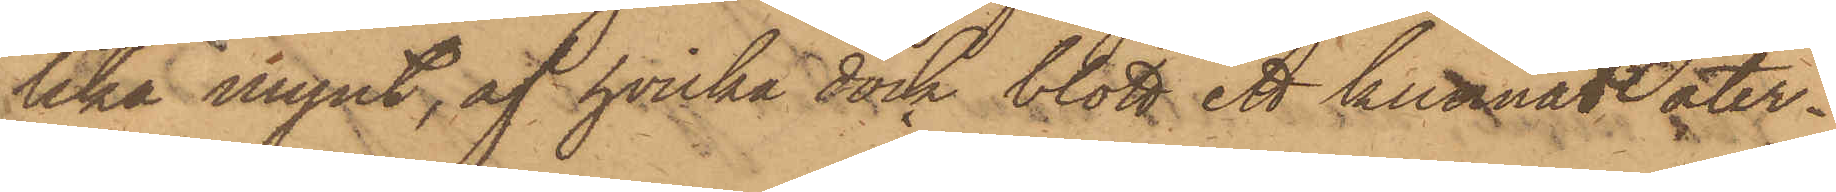lika mynt, af hvilka dock blott ett kunnat åter¬
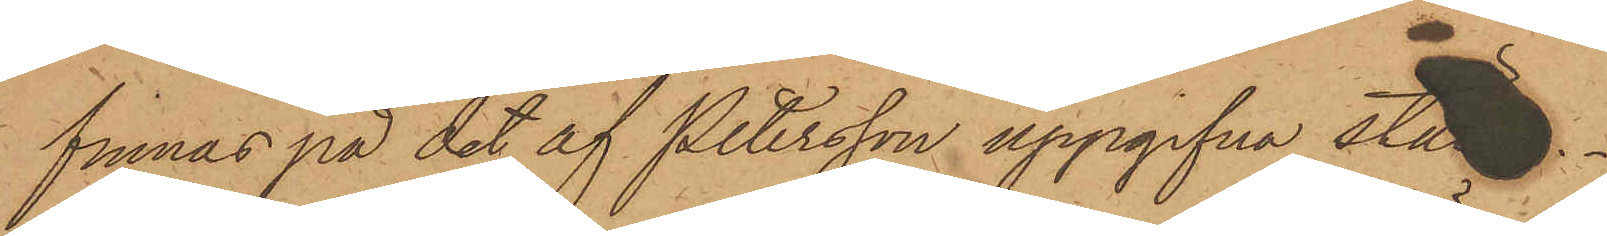finnas på det af Petersson uppgifna ställe.
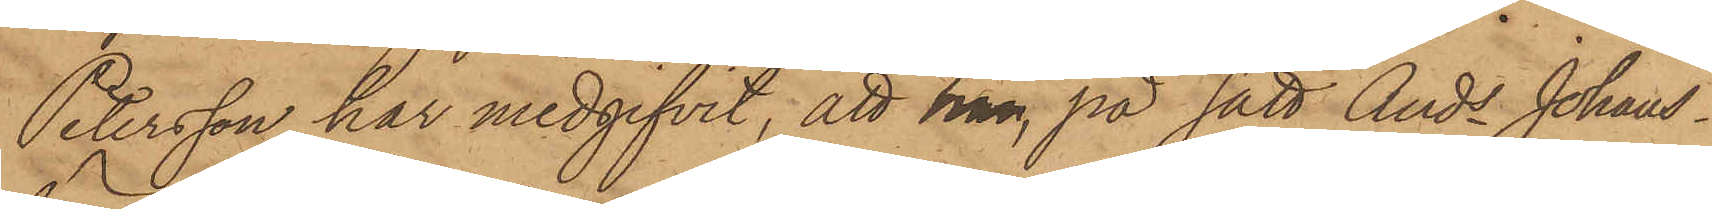Petersson har medgifvit, att han, på sätt Ands Johans¬
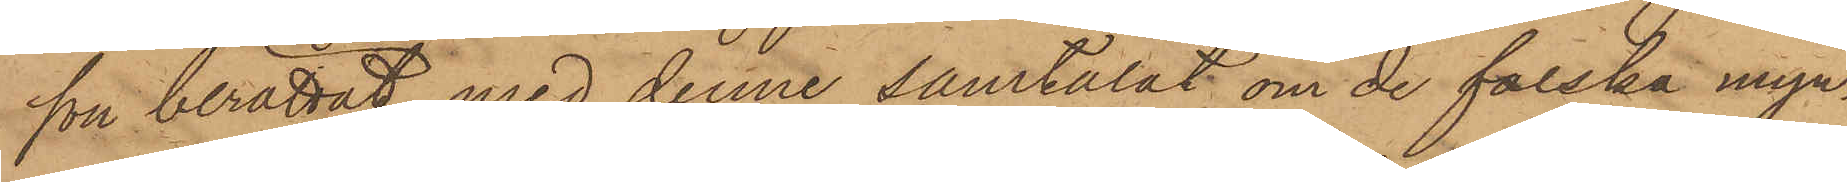son berättat, med denne samtalat om de falska myn¬
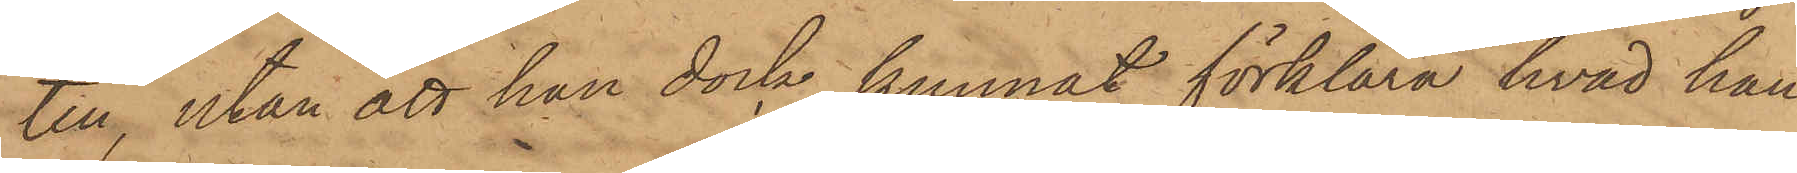ten, utan att han dock kunnat förklara hvad han
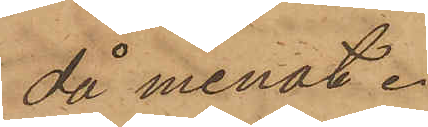då menat.
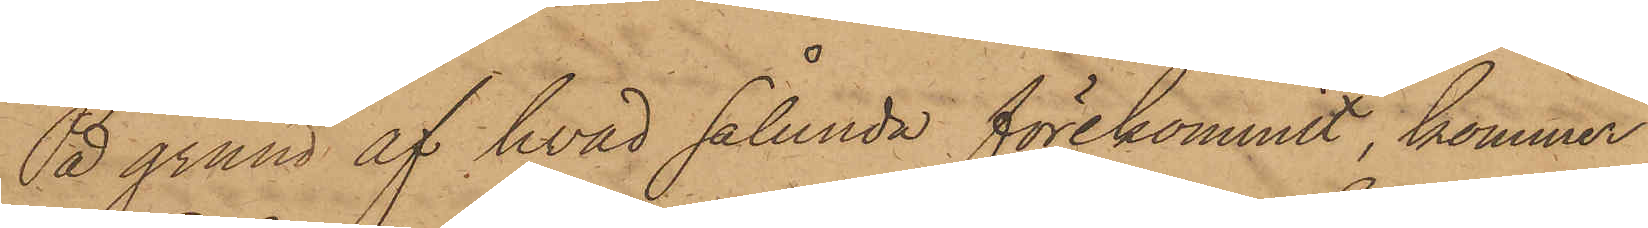På grund af hvad sålunda förekommit, kommer
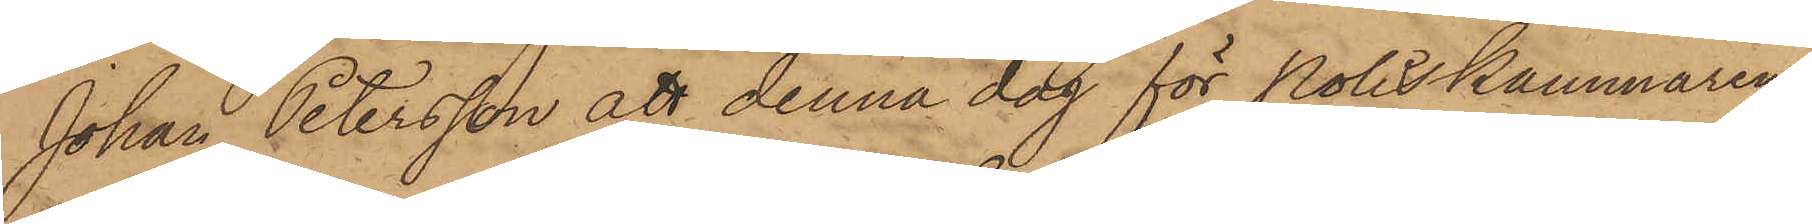Johan Petersson att denna dag för Poliskammaren
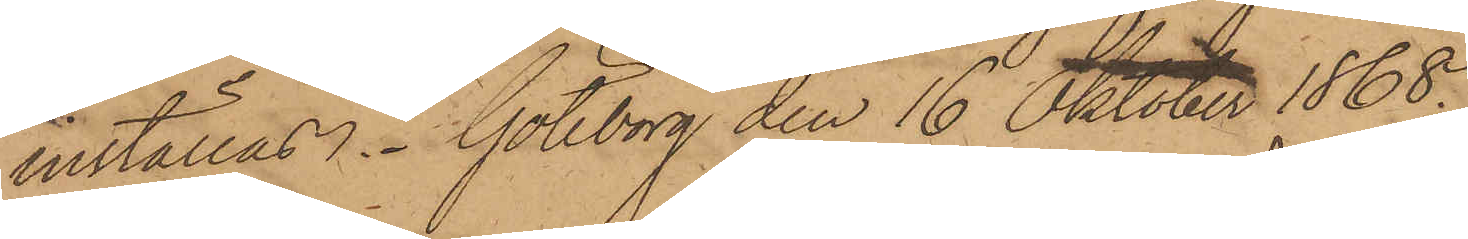inställas. Göteborg den 16 Oktober 1868.
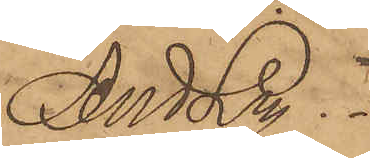And Ln.
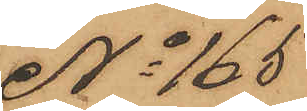No 165
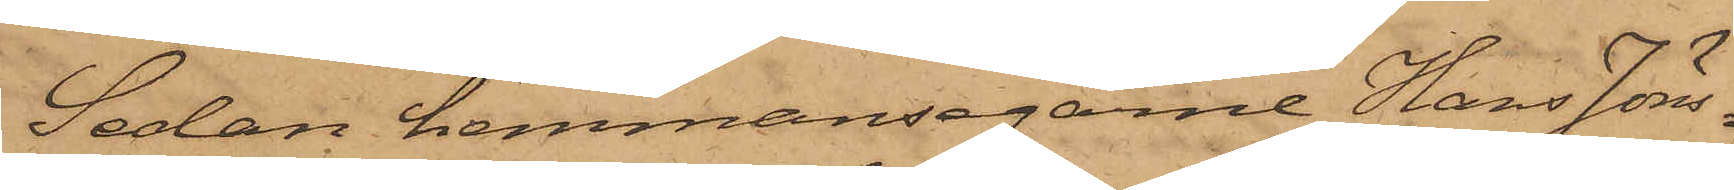Sedan hemmansegarne Hans Jön¬
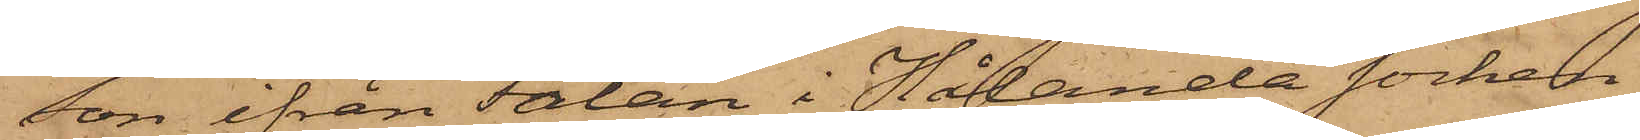son ifrån Falan i Hålanda socken
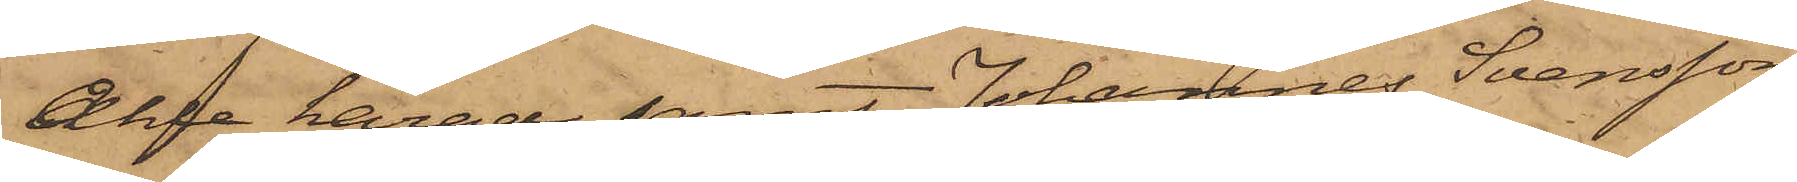Ahle härad samt Johannes Svensson
